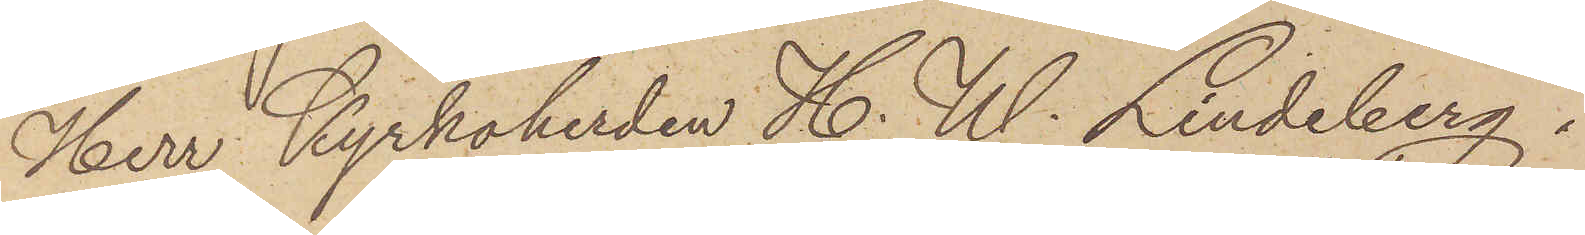Herr Kyrkoherden H. W. Lindberg i
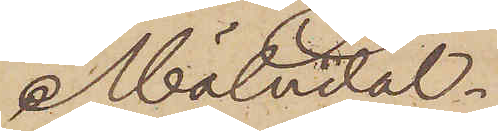Mölndal
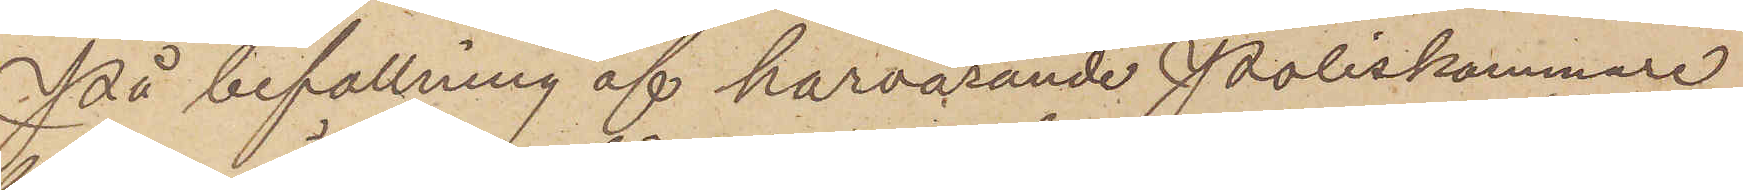På befallning af härvarande Poliskammare
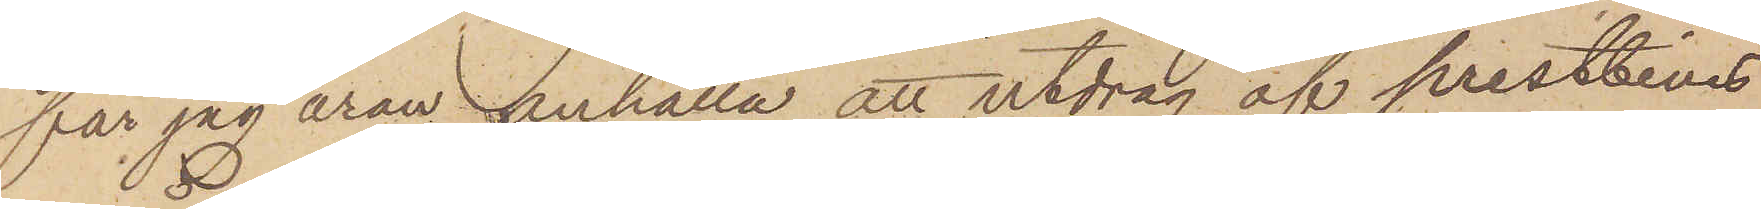får jag äran anhålla att utdrag af prestbevis
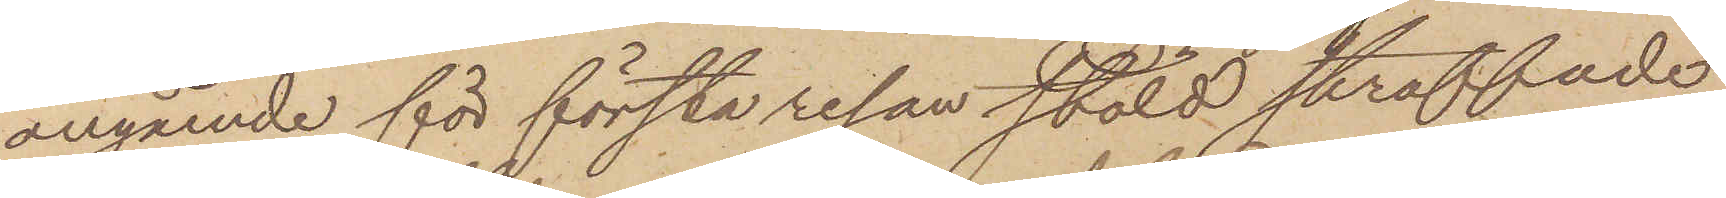angående för första resan stöld straffade
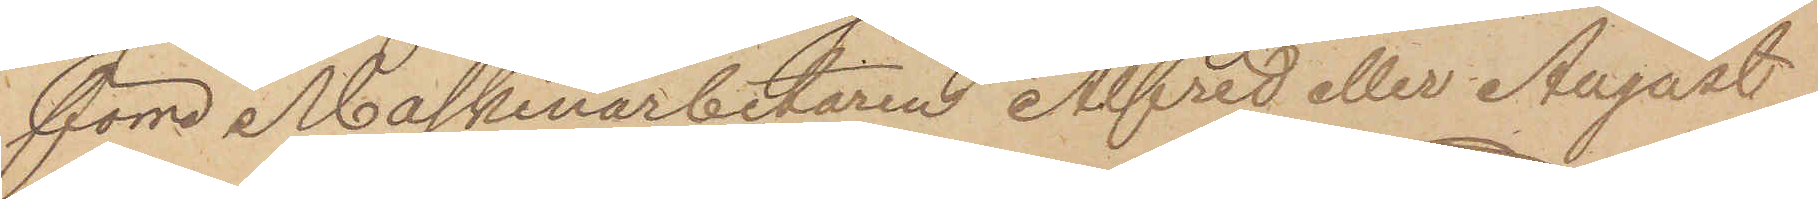förre Maskinarbetaren Alfred eller August
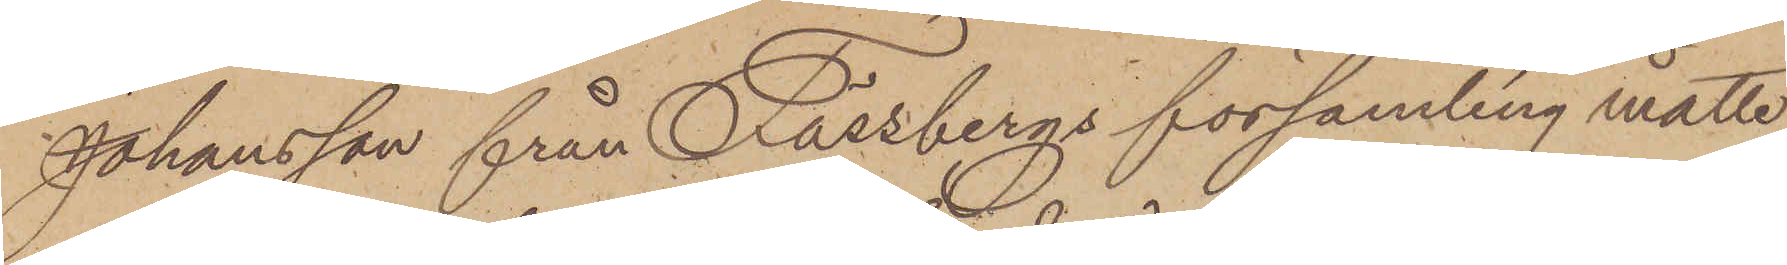Johansson från Fässbergs församling måtte
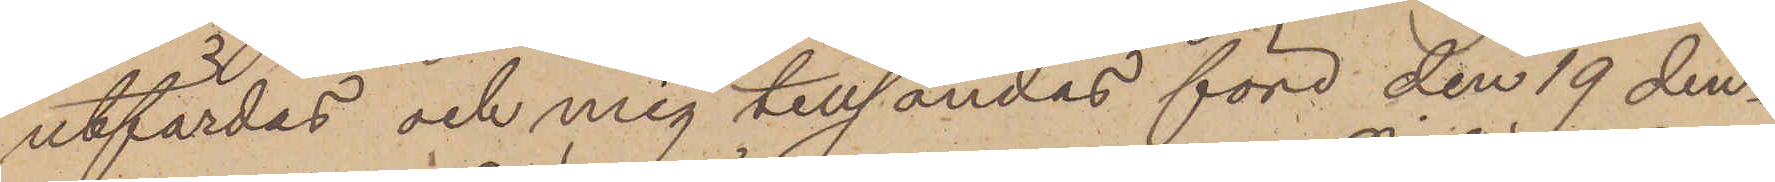utfärdas och mig tillsändas före den 19 den¬
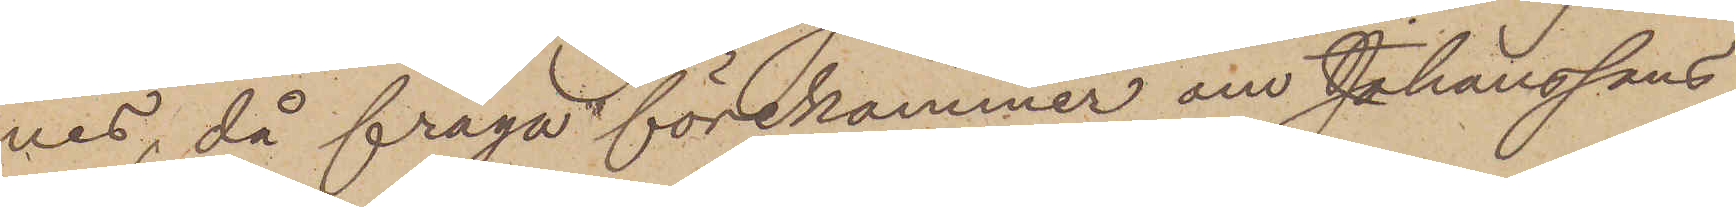nes, då fråga förekommer om Johanssons
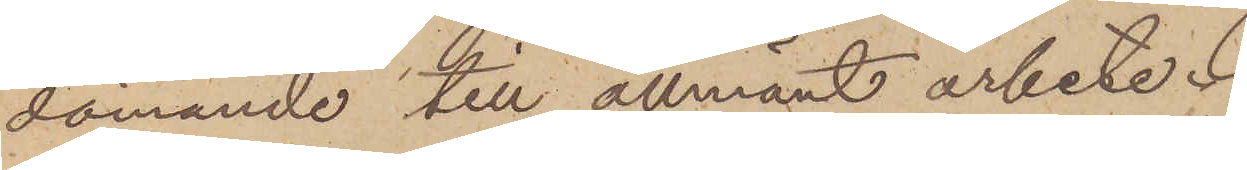dömande till allmänt arbete;
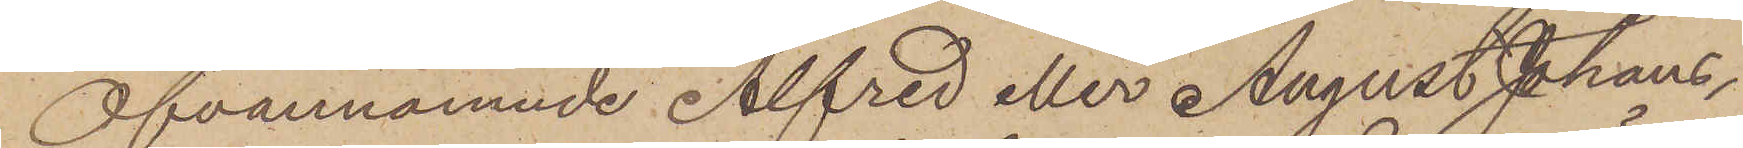Ofvannämnde Alfred eller August Johans¬
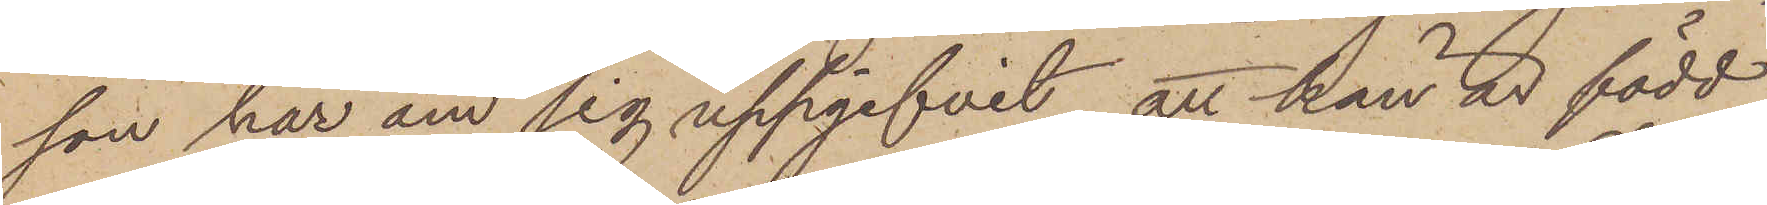son har om sig uppgifvit, att han är född
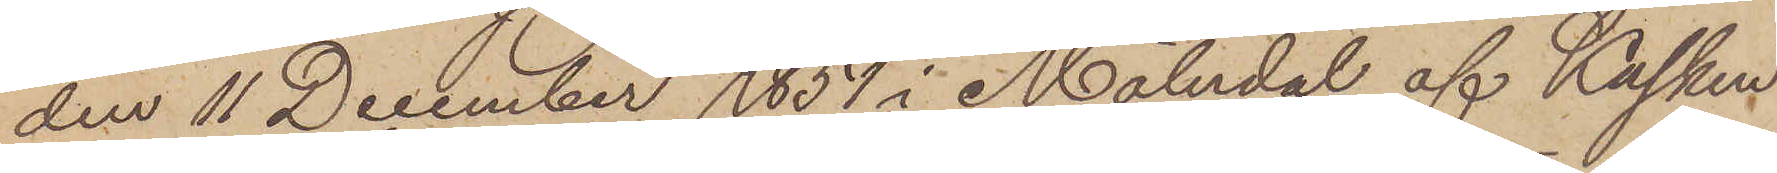den 11 December 1851 i Mölndal af Kasken
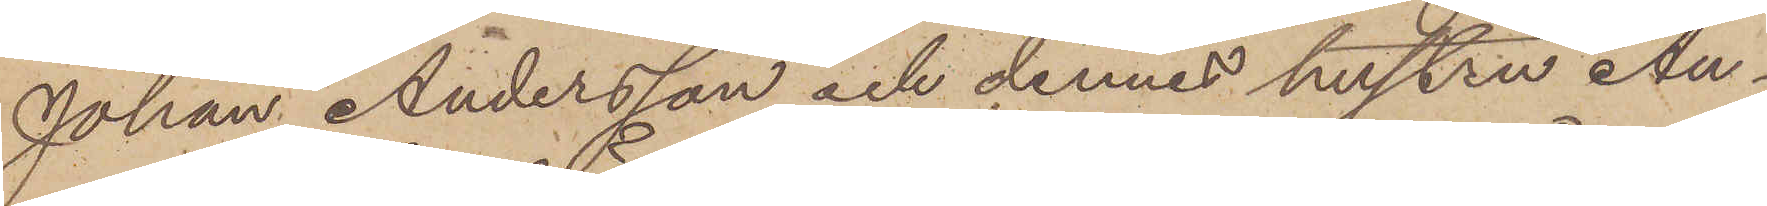Johan Andersson och dennes hustru An¬
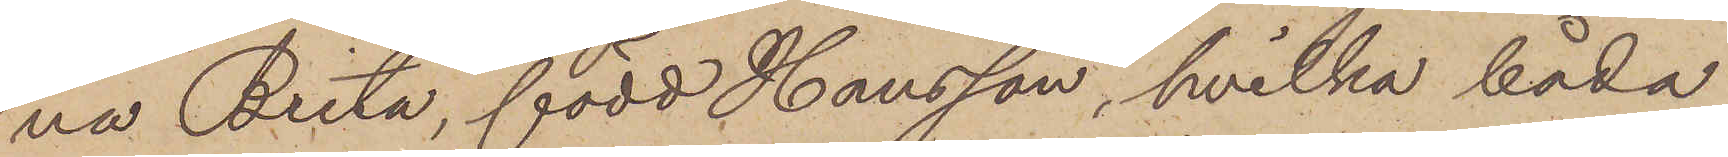na Brita, född Hansson, hvilka båda
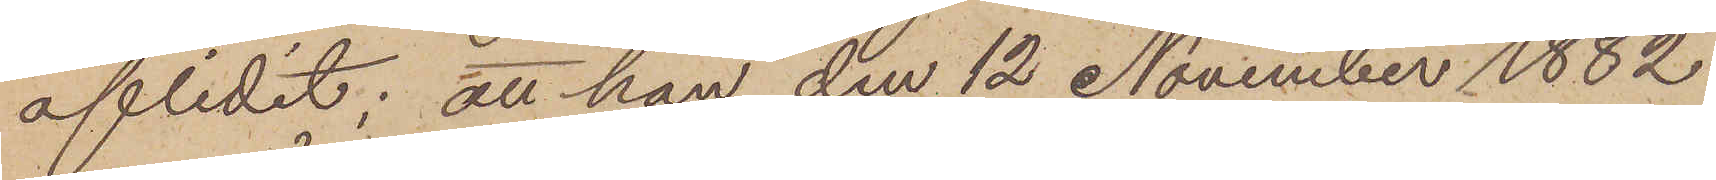aflidit; att han den 12 November 1882
